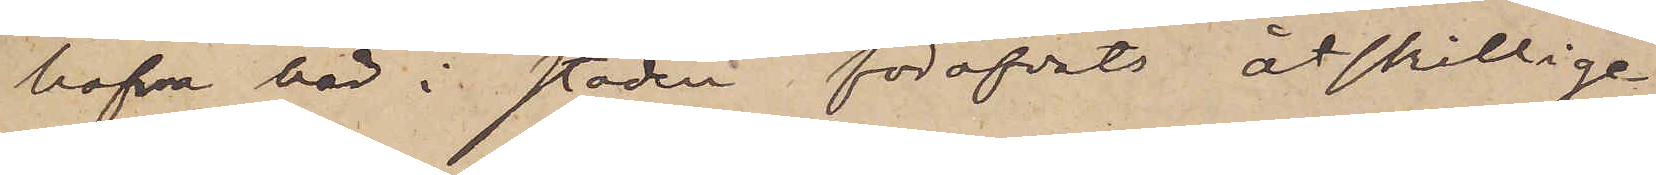hafva här i staden föröfvats åtskillige
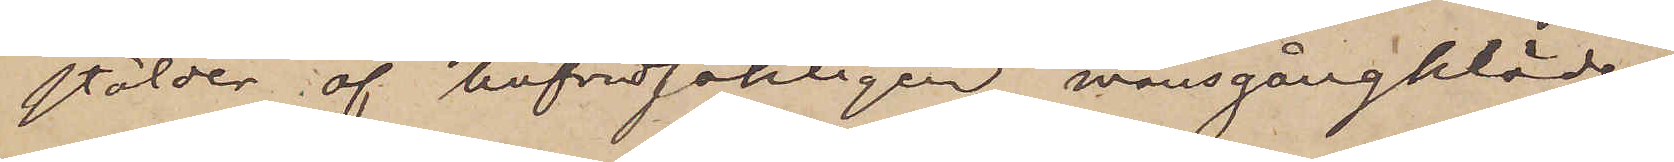stölder af hufvudsakligen mansgångkläder
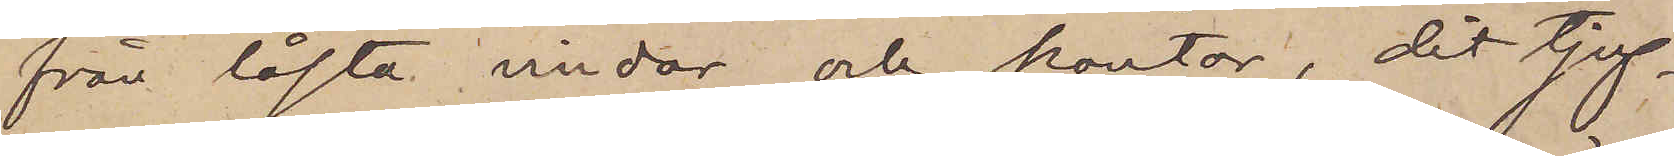från låsta vindar och kontor, dit tjuf¬
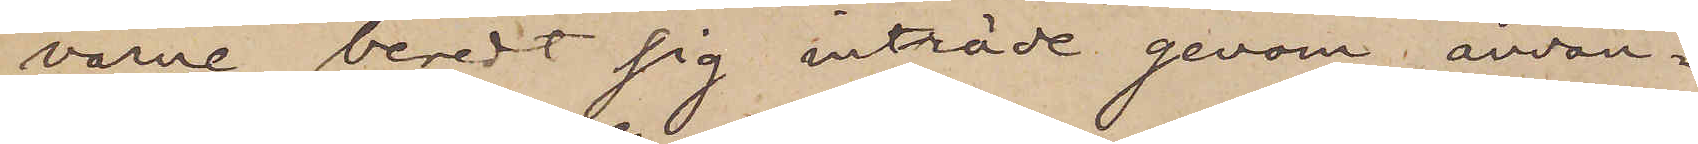varne beredt sig inträde genom använ¬
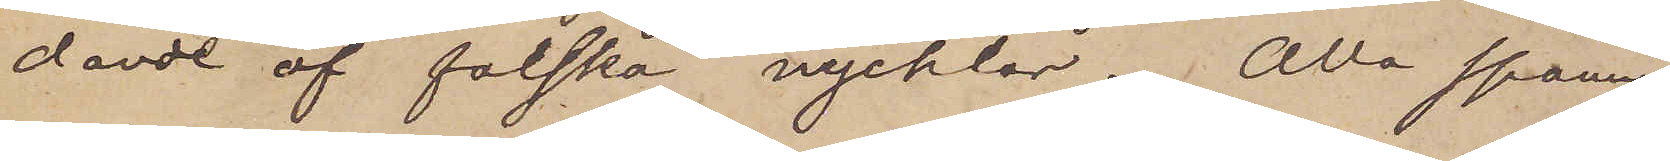dande af falska nycklar. Alla spanin¬
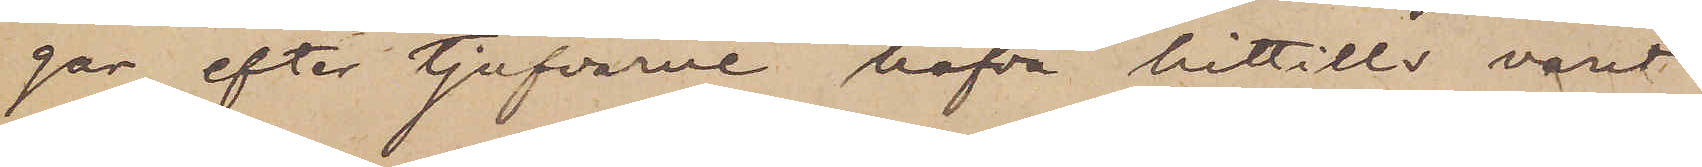gar efter tjufvarne hafva hittills varit
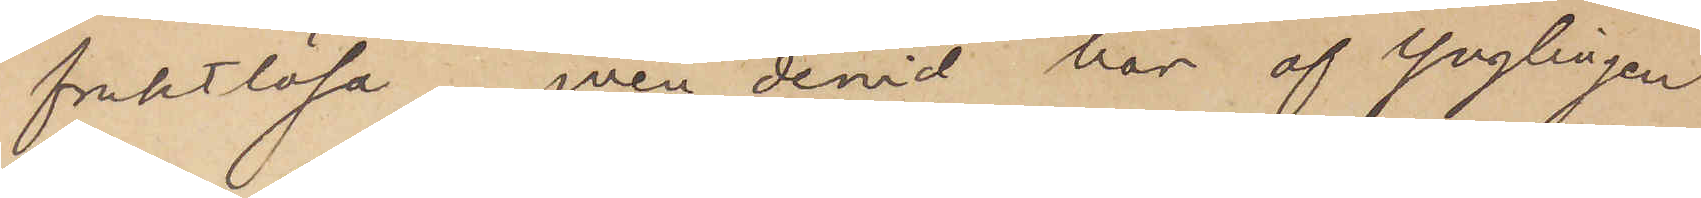fruktlösa, men devid har af ynglingen
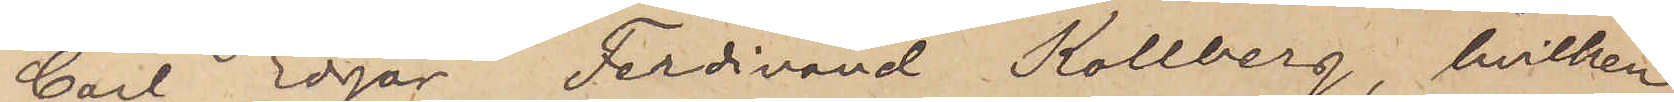Carl Edgar Ferdinand Kollberg, hvilken
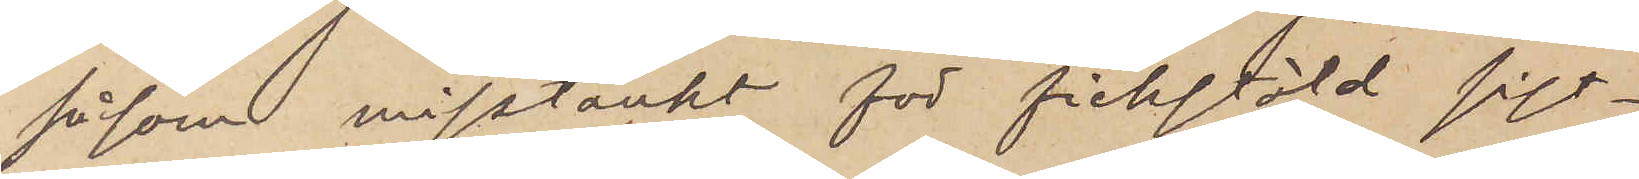såsom misstänkt för fickstöld sist¬
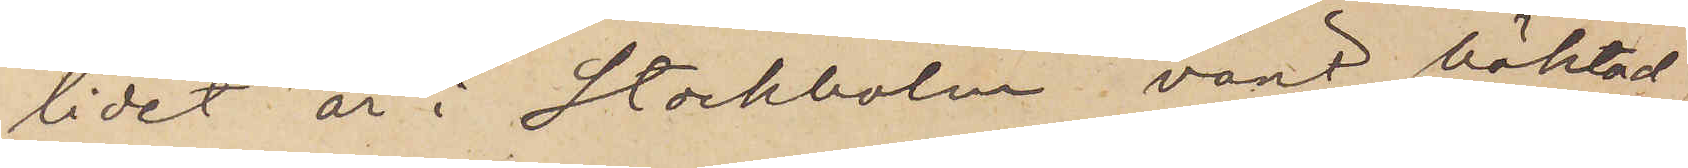lidet år i Stockholm, varit häktad,
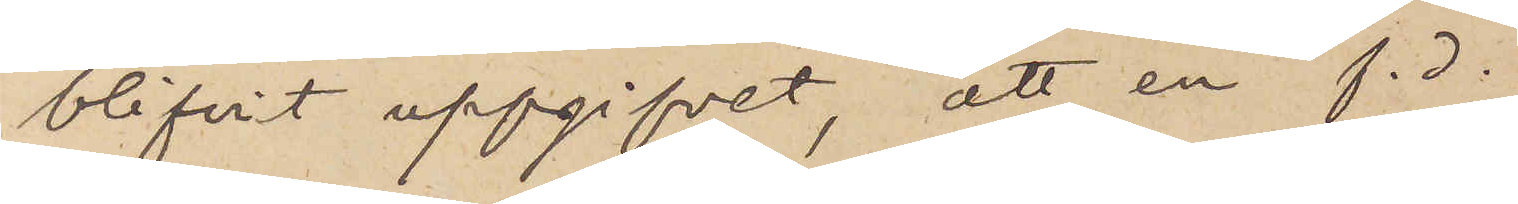blifvit uppgifvit, att en f. d.
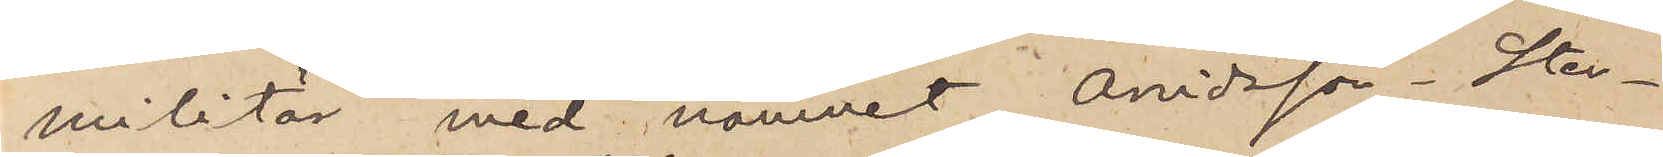militär med namnet Arvidsson Sten¬
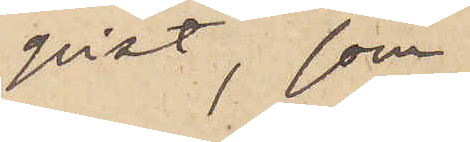qvist, som
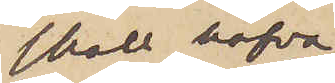skall hafva
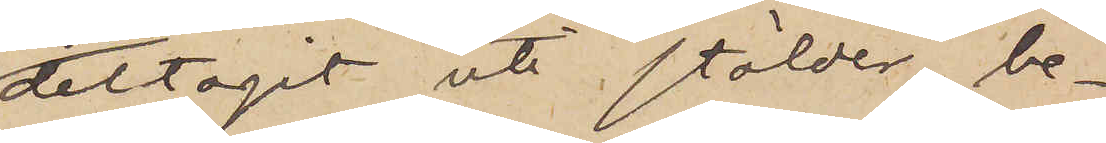deltagit uti stölder, be¬
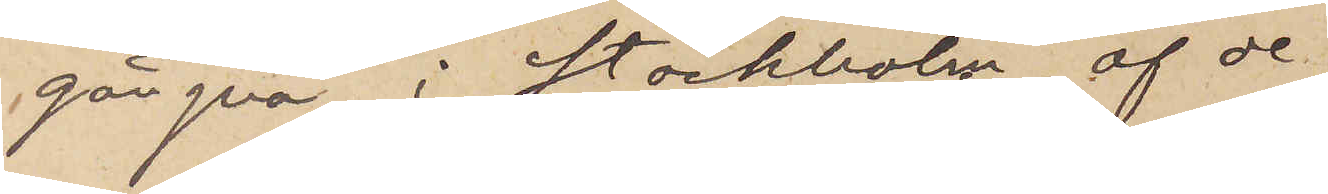gångna i Stockholm af de
